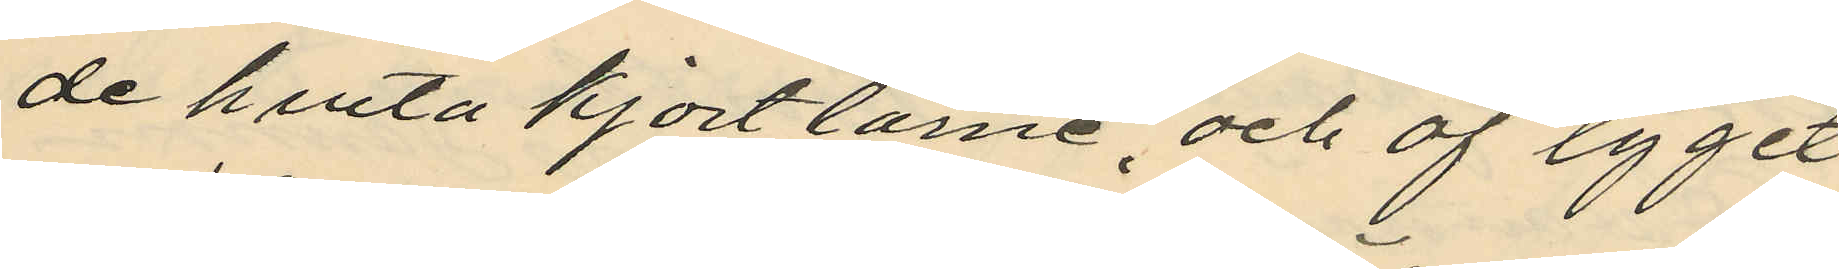de hvita kjortlarne, och af tyget
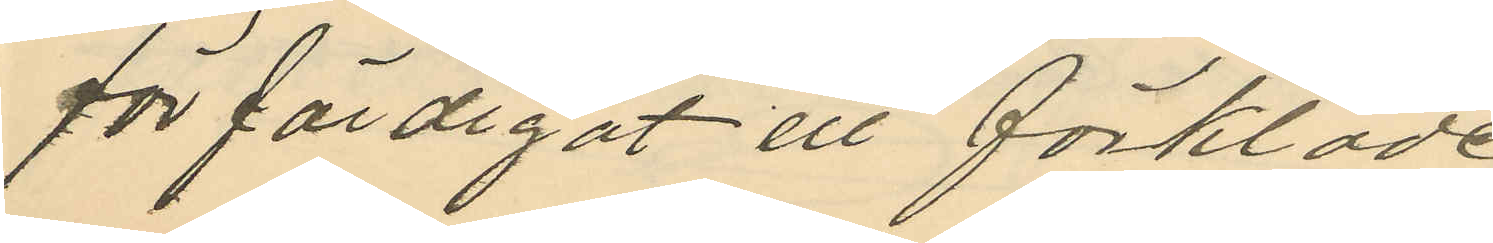förfärdigat ett förkläde,
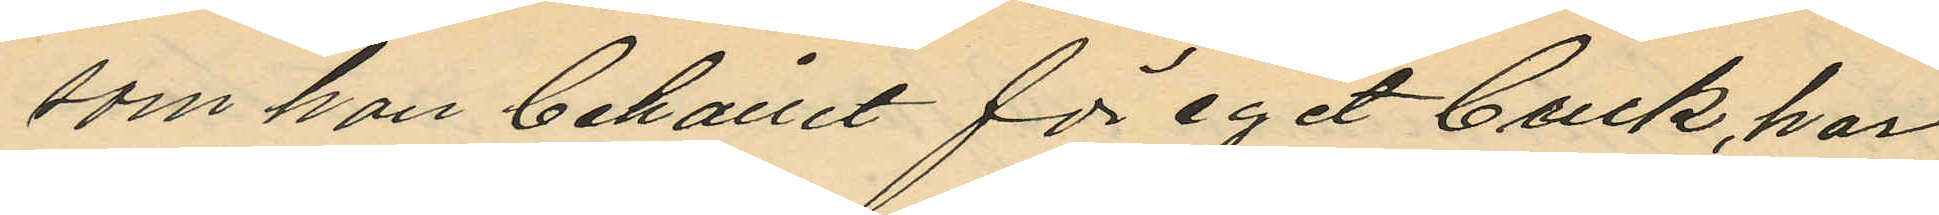som hon behållit för eget bruk, har
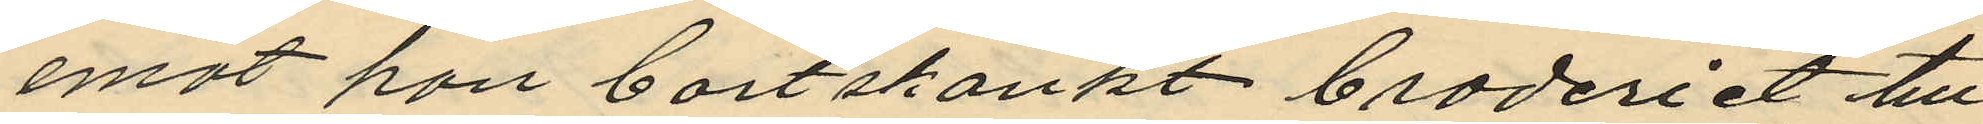emot hon bortskänkt broderiet till
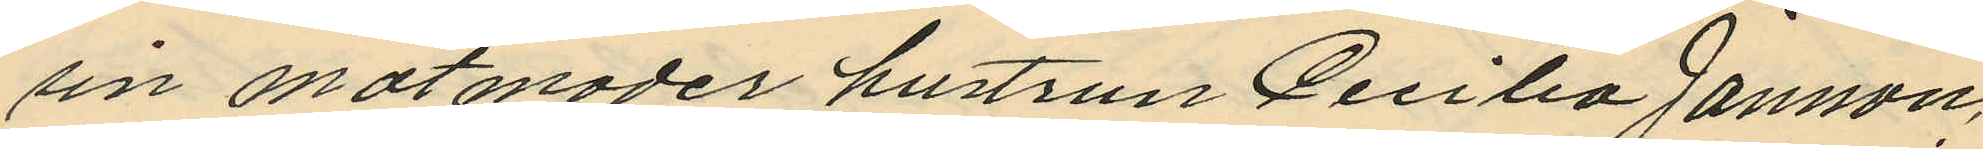sin matmoder hustrun Cecilia Jansson;
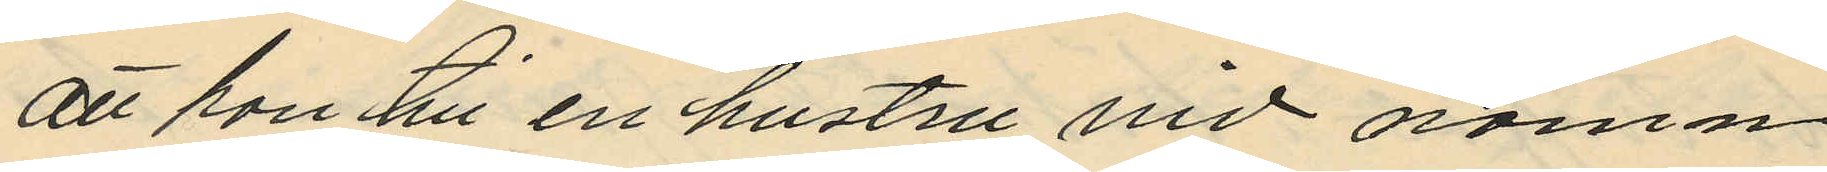att hon till en hustru vid namn
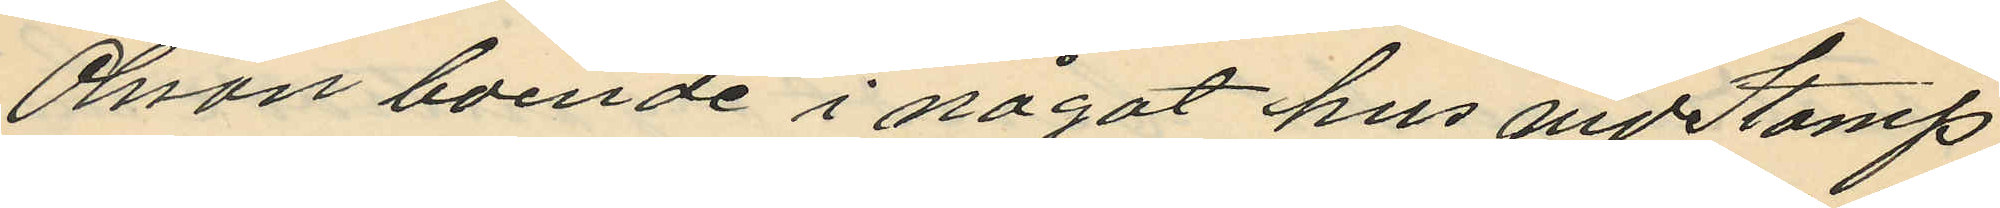Olsson boende i något hus vid Stamp
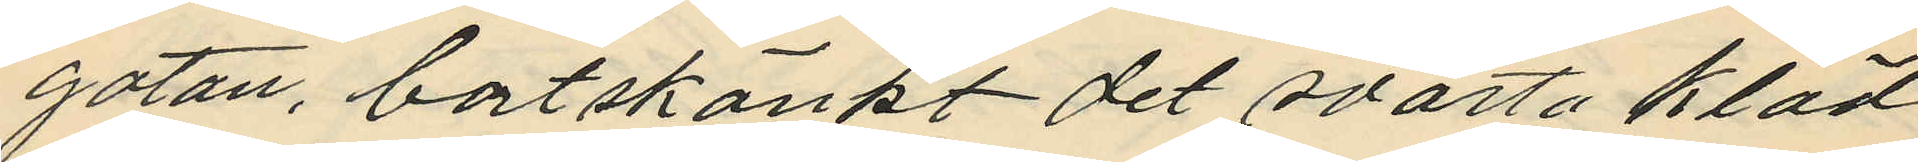gatan, bortskänkt det svarta kläd
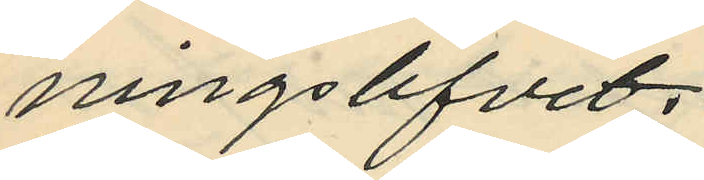ningslifvet,
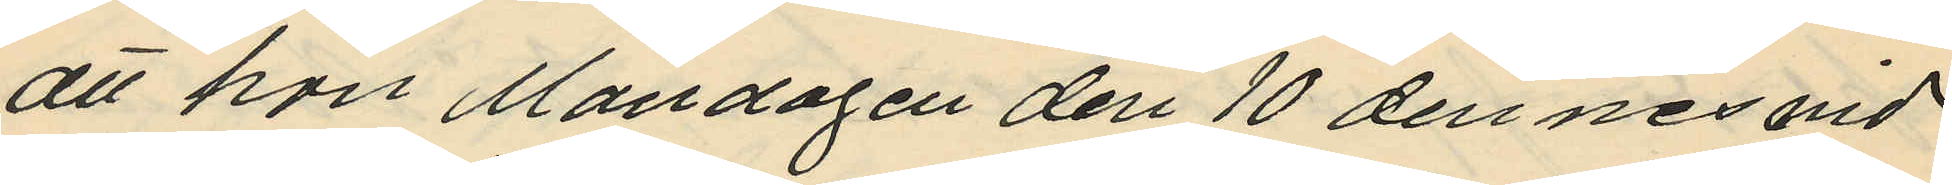att hon Måndagen den 10 dennes vid
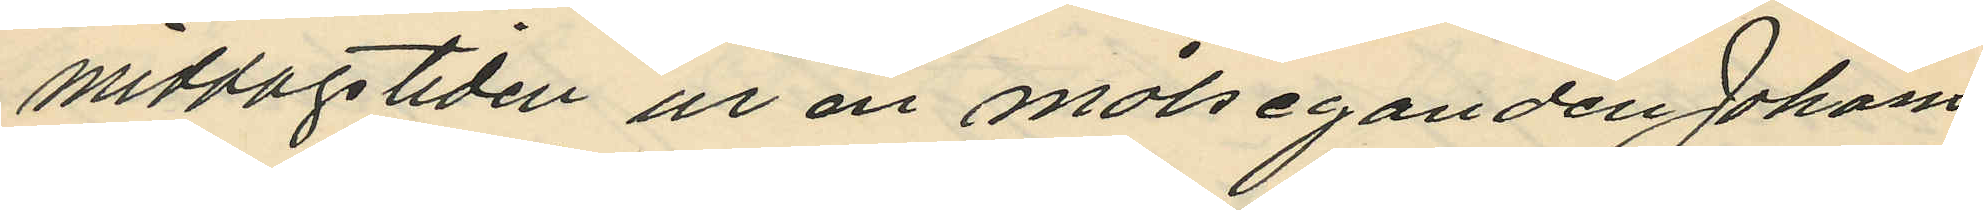middagstiden ur en målseganden Johans
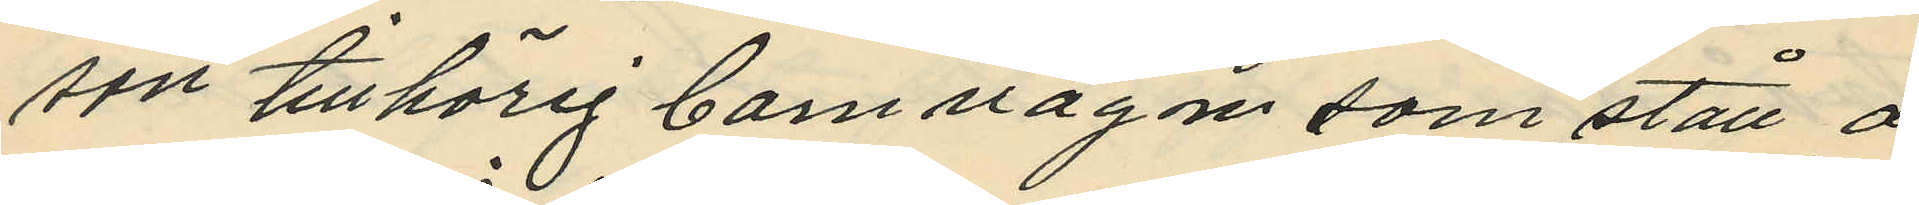son tillhörig barnvagn som stått å
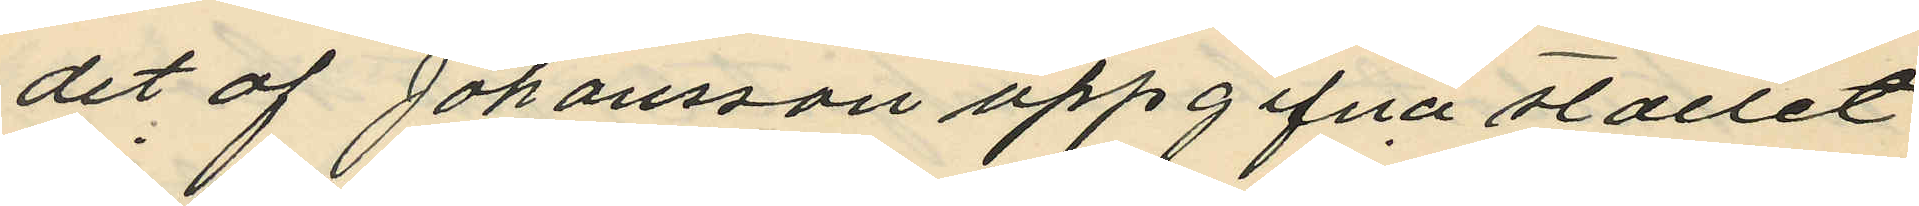det af Johansson uppgifna stället
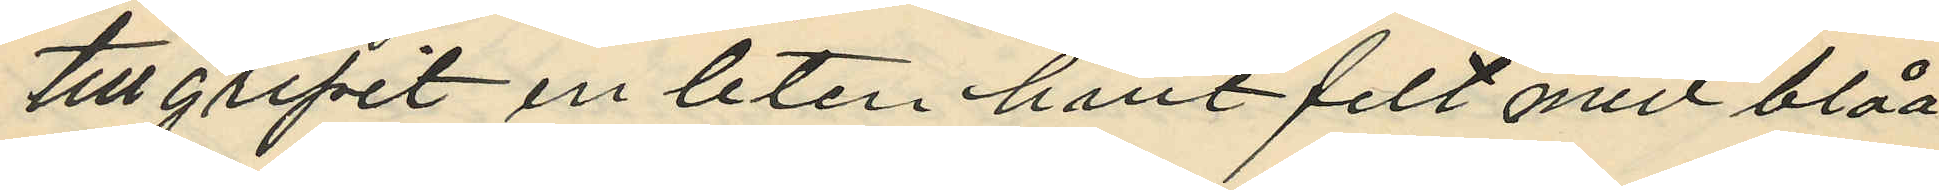tillgripit en liten hvit filt med blåa
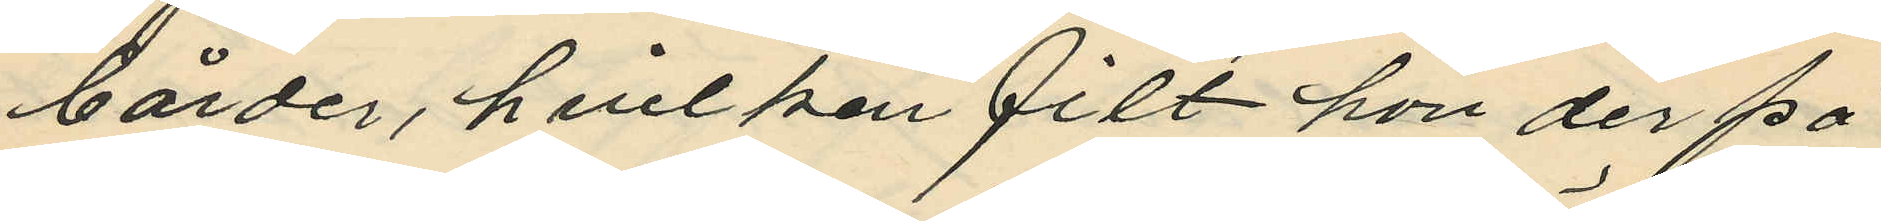bårder, hvilken filt hon derpå
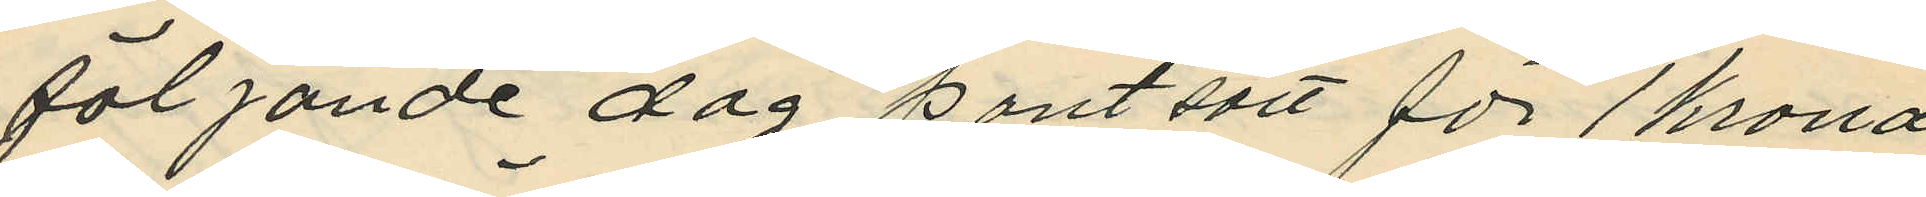följande dag pantsatt för 1 krona
